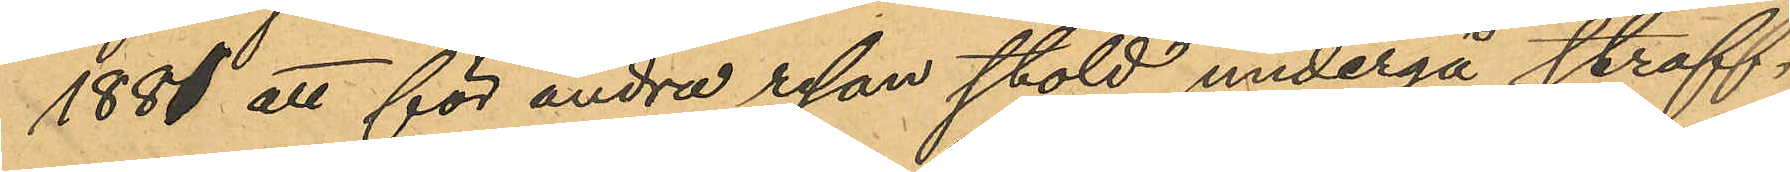1881 att för andra resan stöld undergå straff¬
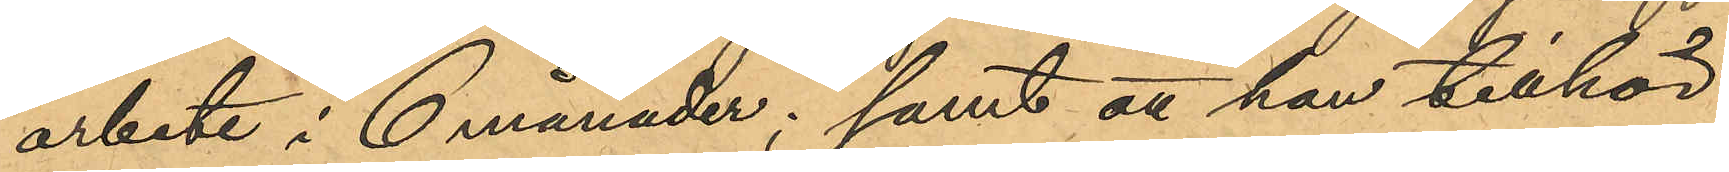arbete i 6 månader; samt att han tillhör
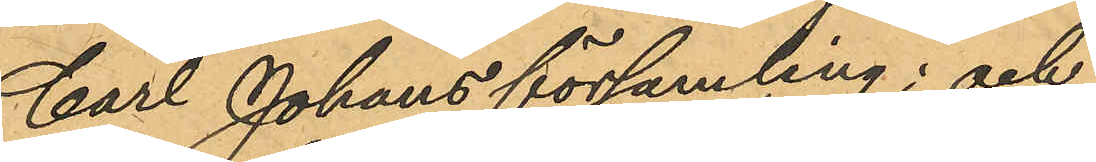Carl Johans församling; och
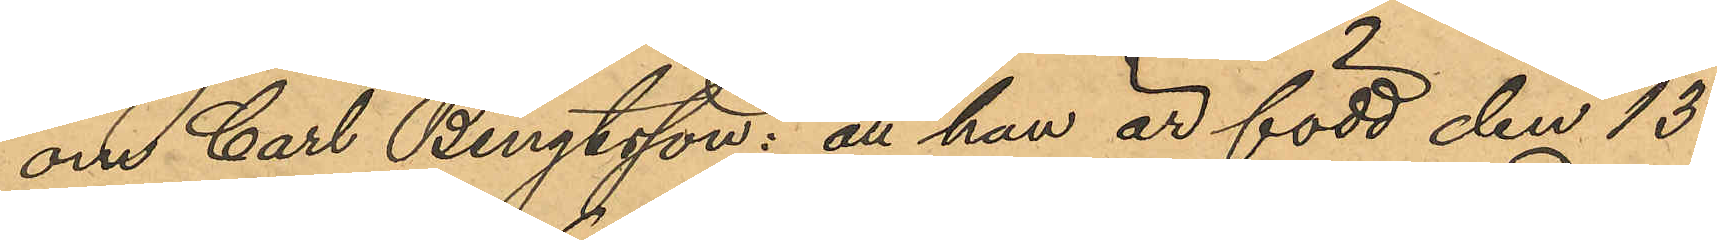om Carl Bengtsson: att han är född den 13
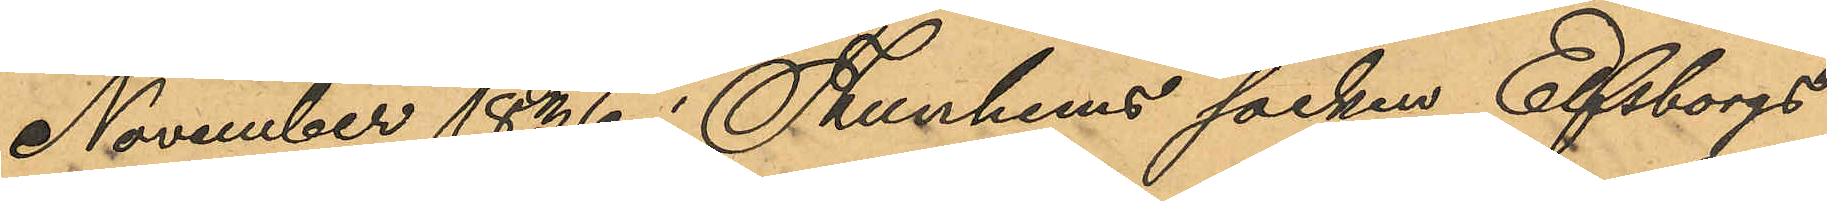November 1886 i Thunhems socken, Elfsborgs
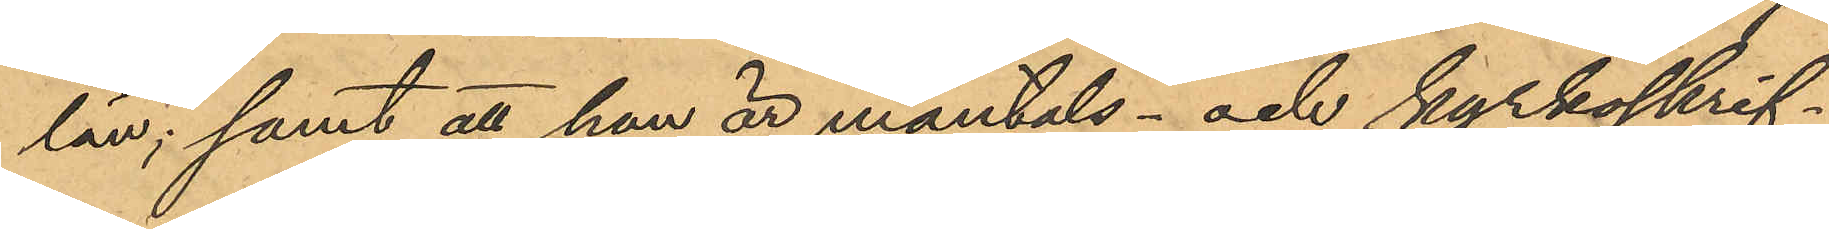län; samt att han är mantals- och kyrkoskrif¬
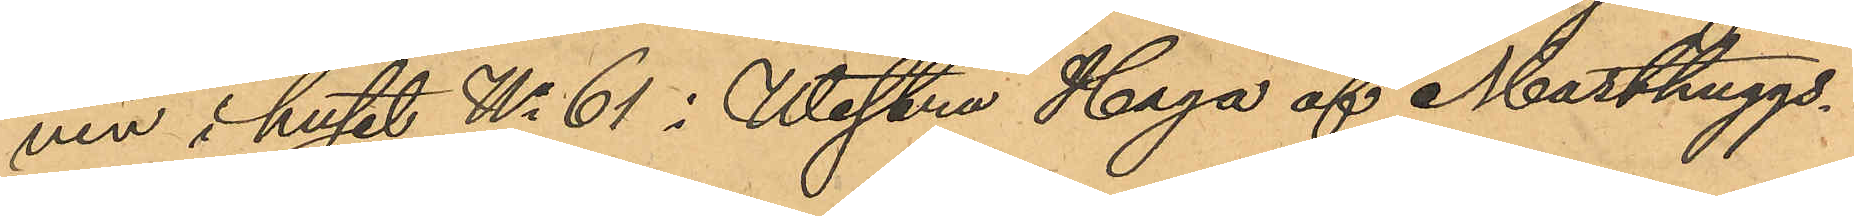ven i huset No 61 i Westra Haga af Masthuggs¬
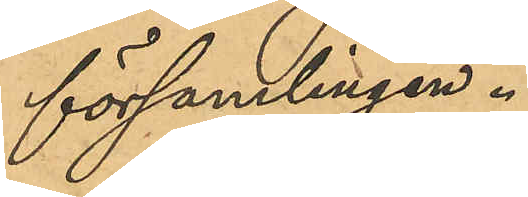församlingen.
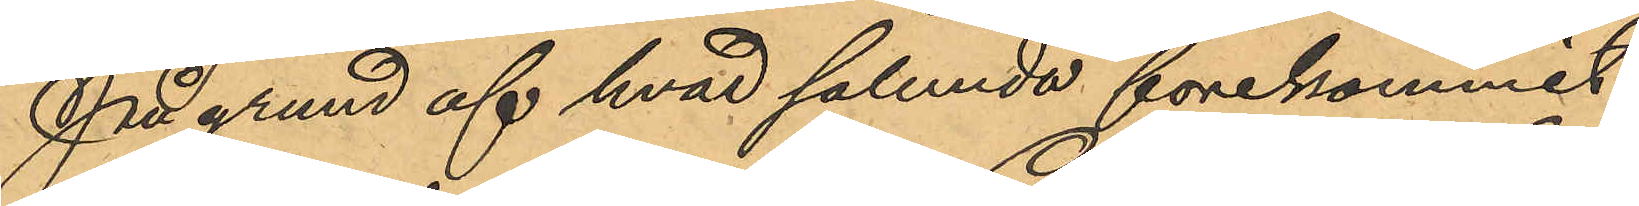På grund af hvad sålunda förekommit
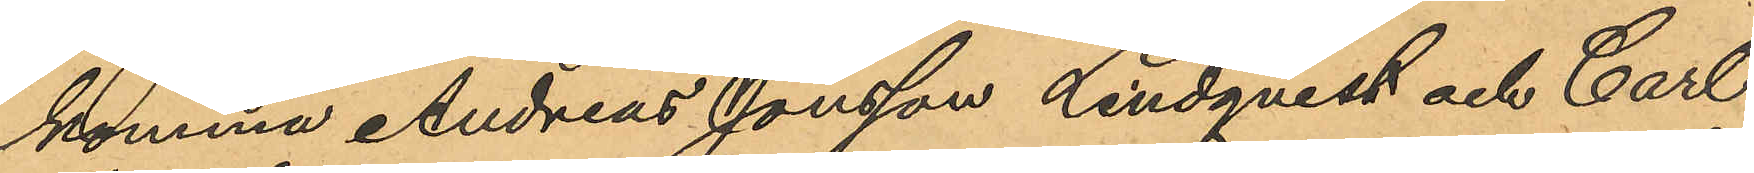komma Andreas Jonsson Lindqvist och Carl
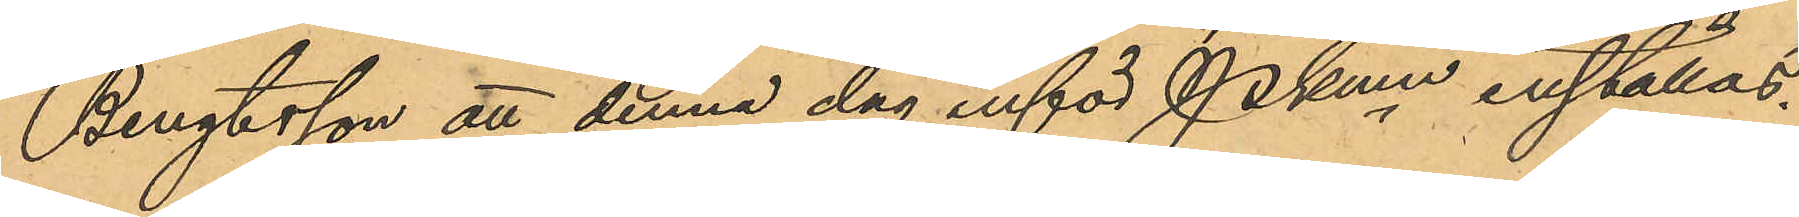Bengtsson att denna dag inför Pkmn inställas.
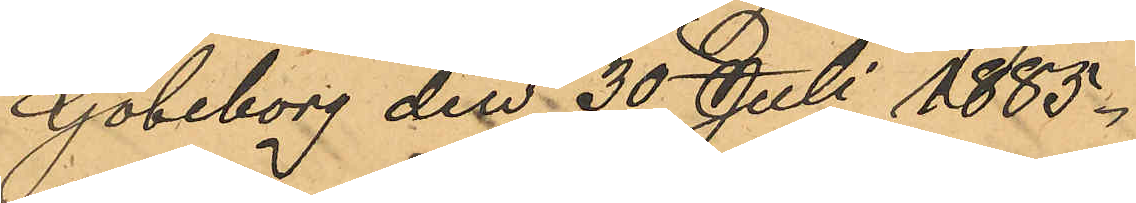Göteborg den 30 Juli 1885.
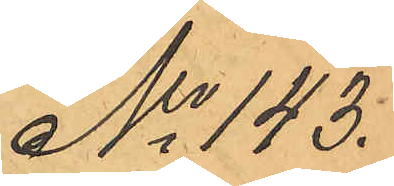No 143.
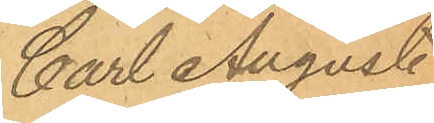Carl August
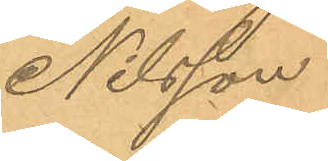Nilsson
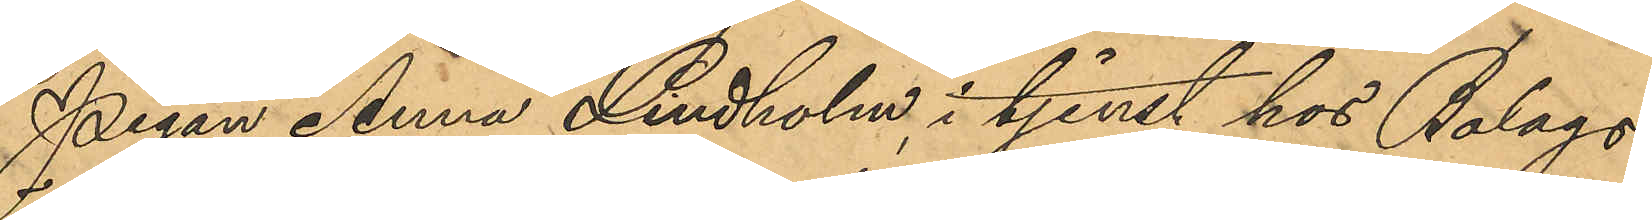Pigan Anna Lindholm i tjenst hos Bolags¬
